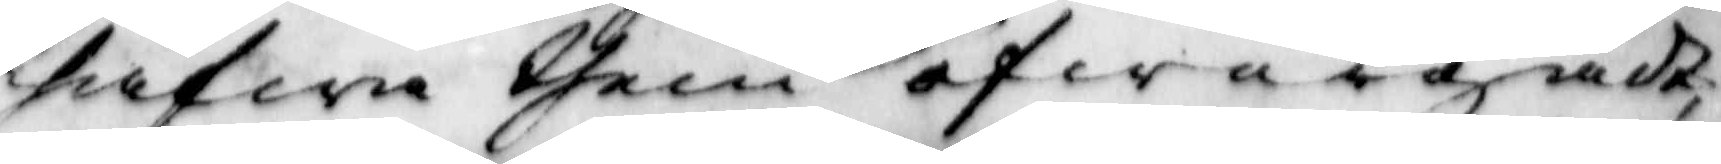hafwa them öfwergådt,
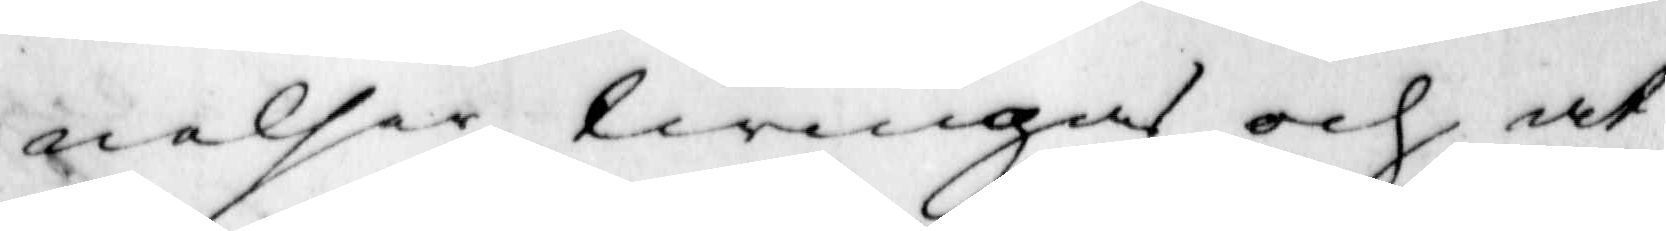nelser twingas och at
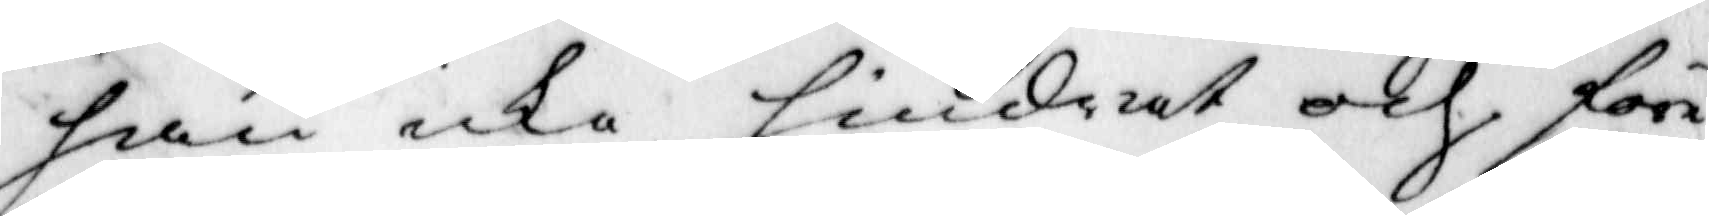han icke hindrat och för¬
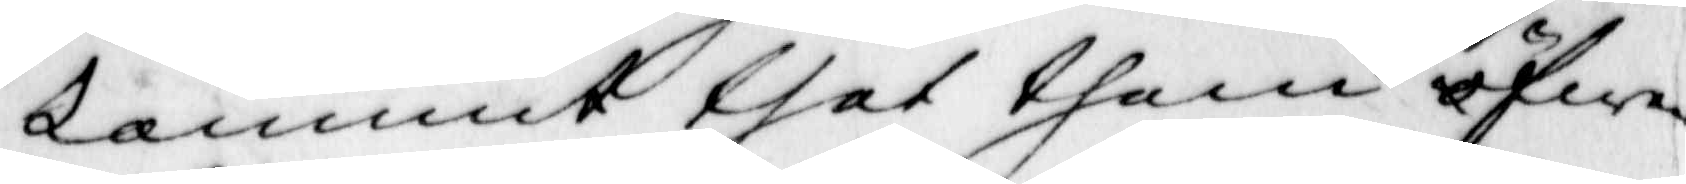kommit thet them öfwer¬
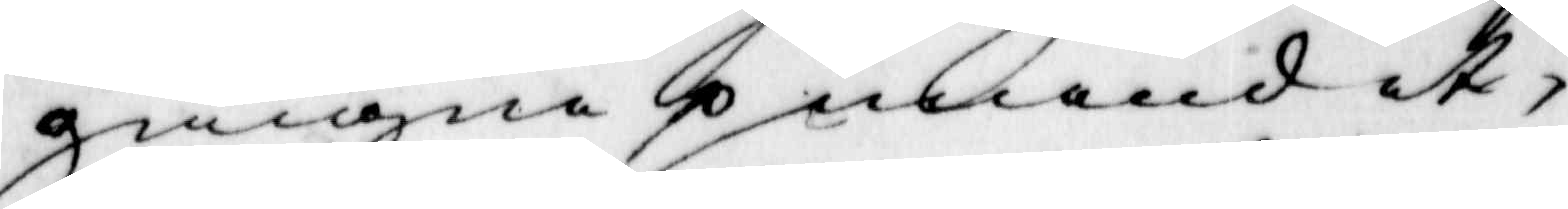gångne pinandet,
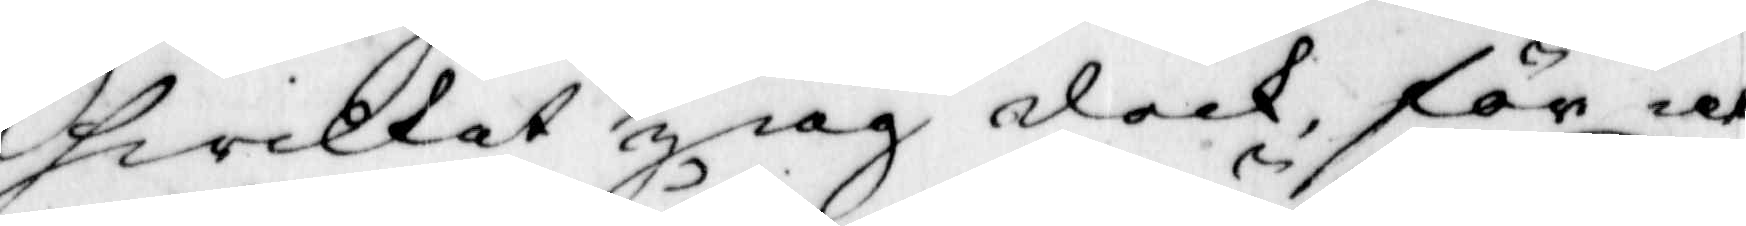hwilket jiag dock för at
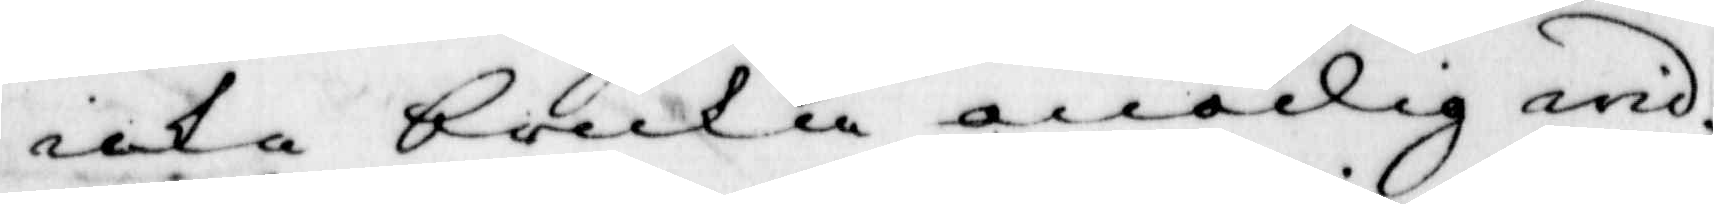icke bruka onödig wid¬
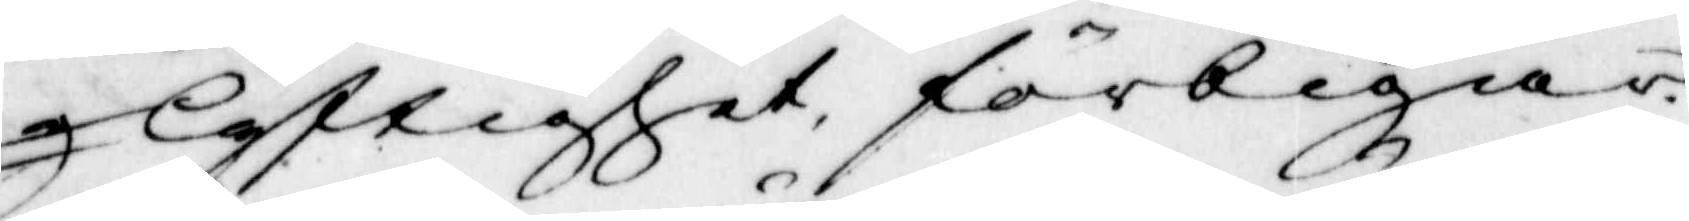lyftighet, förbigår.
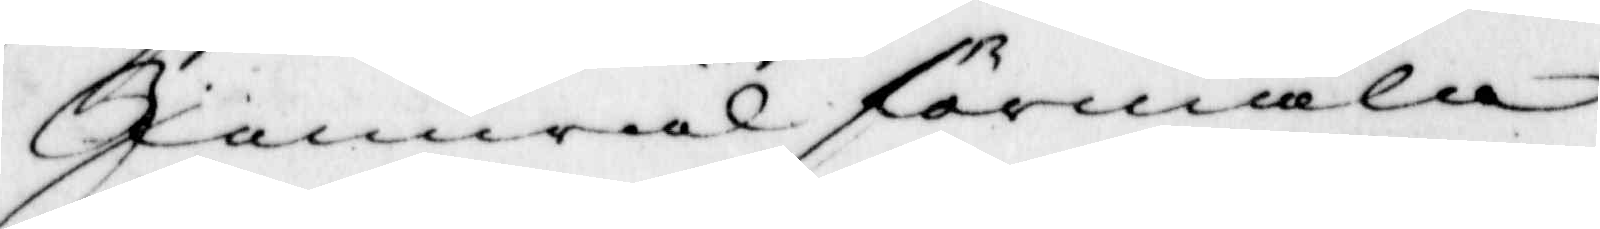Jämwäl förmäla
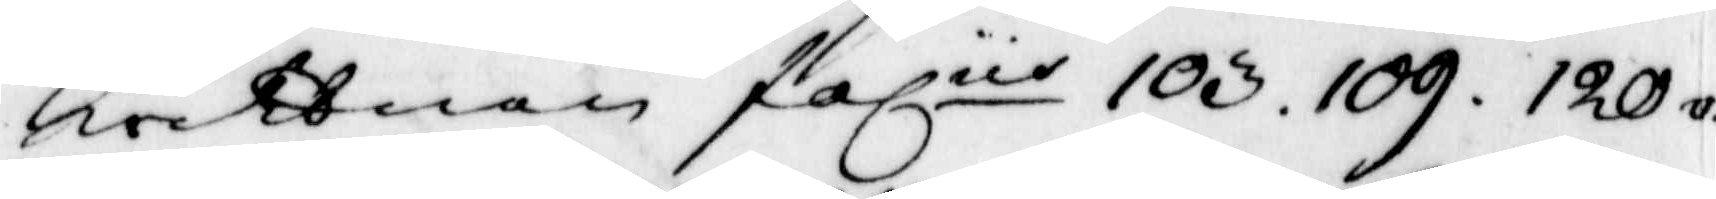wittnen foliit 103. 109. 120 v.
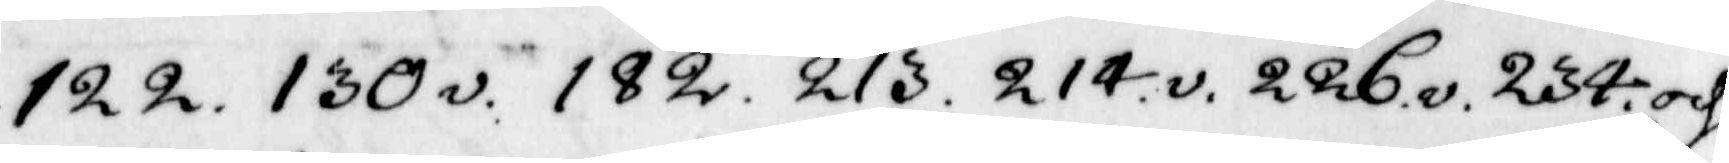122. 130v. 182. 213. 214v. 226v. 234 och
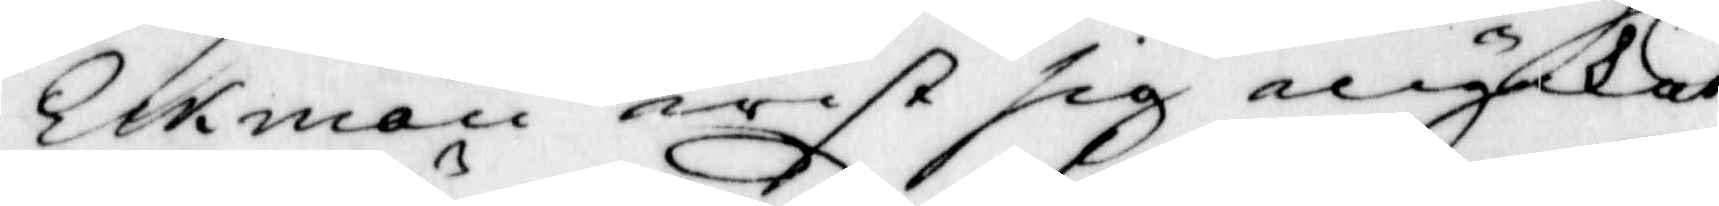Ekman wist sig mycket
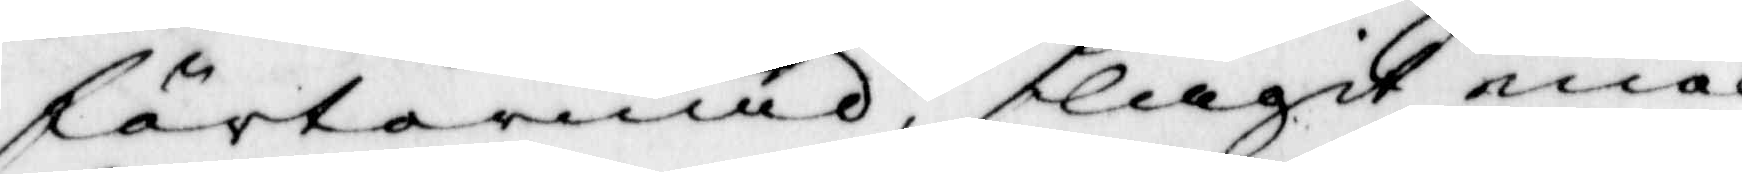förtörnad, slagit med
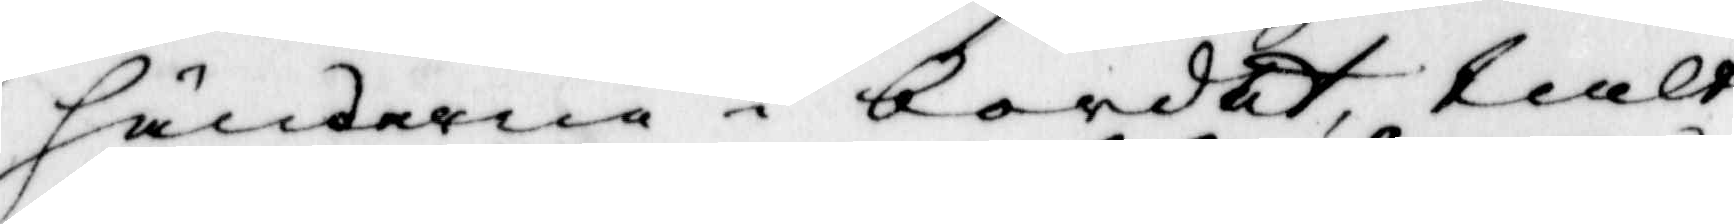händerna i bordet, talt
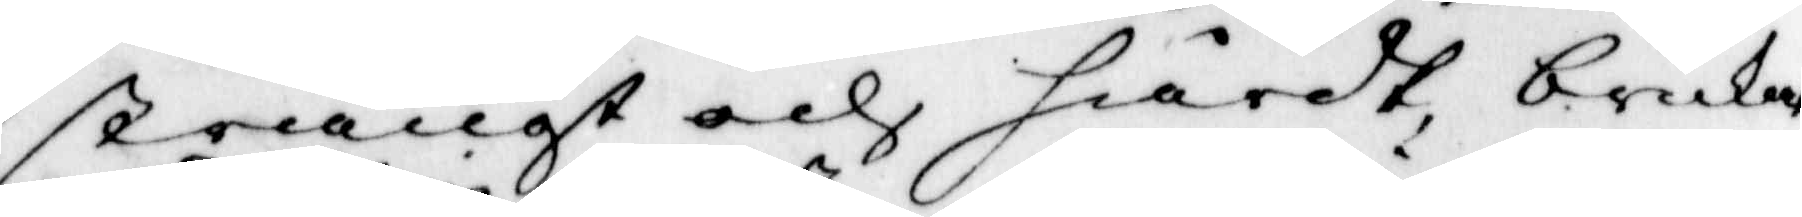strängt och hårdt, brukat
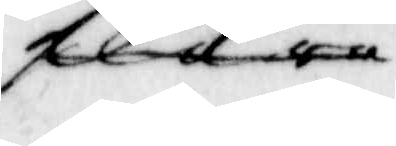flera
